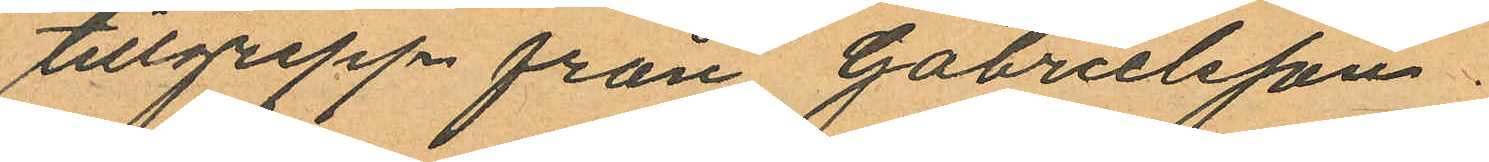tillgrepp från Gabrielsson.
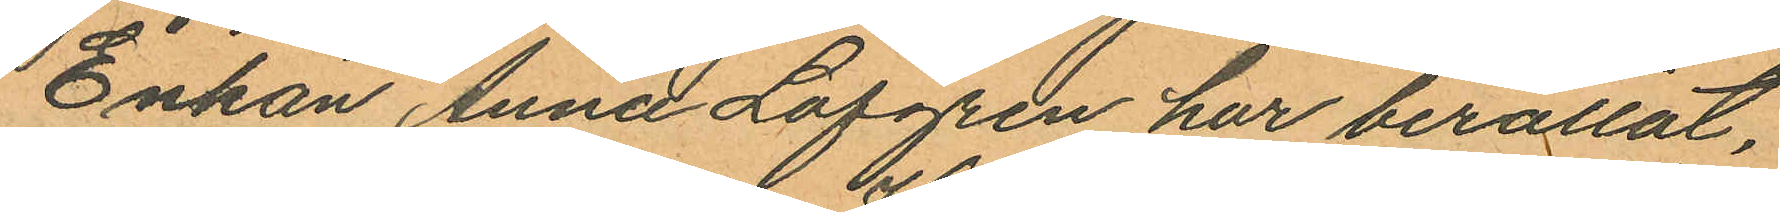Enkan Anna Löfgren har berättat,
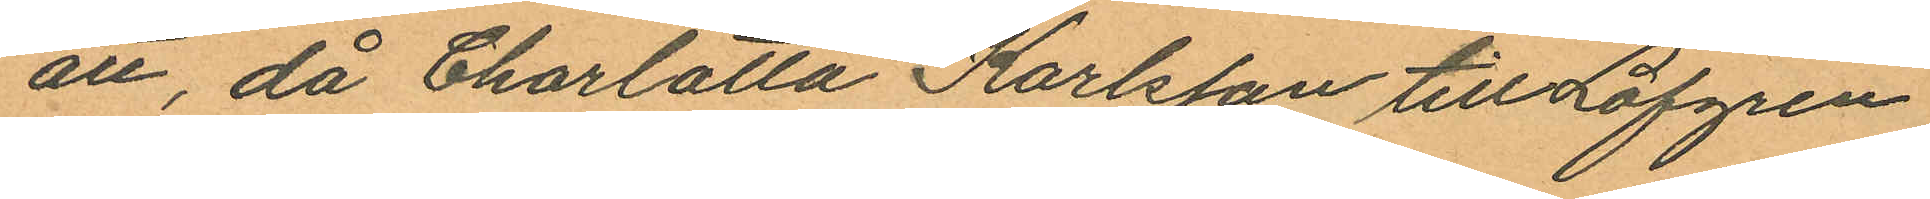att, då Charlotta Karlsson till Löfgren
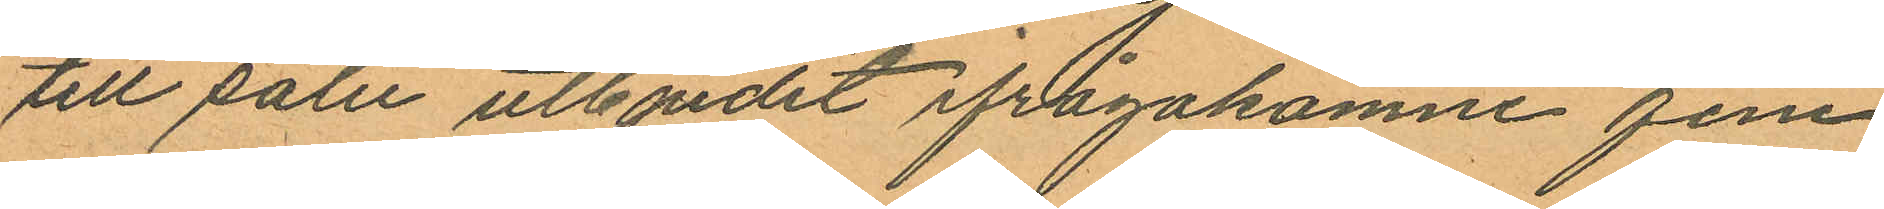till salu utbjudit ifrågakomne fem
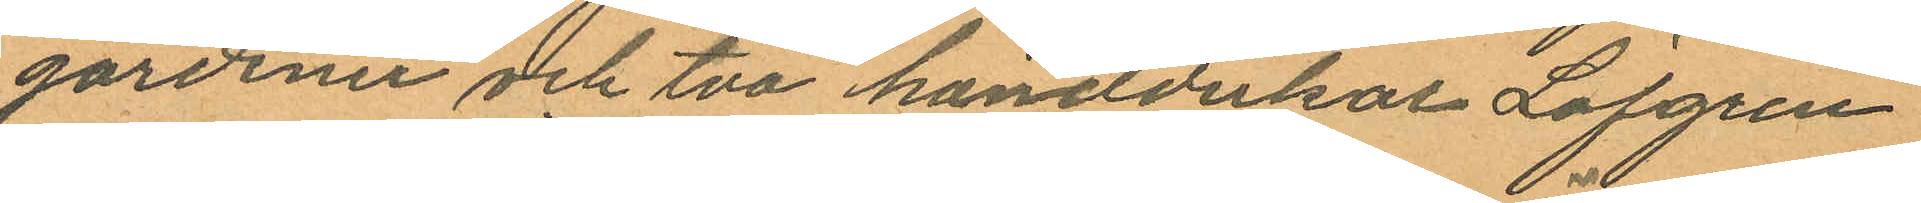gardiner och två handdukar Löfgren
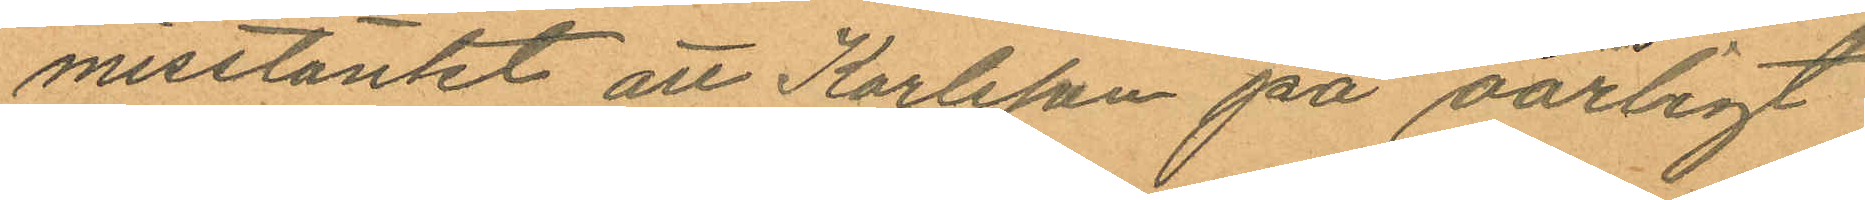misstänkt att Karlsson på oärligt
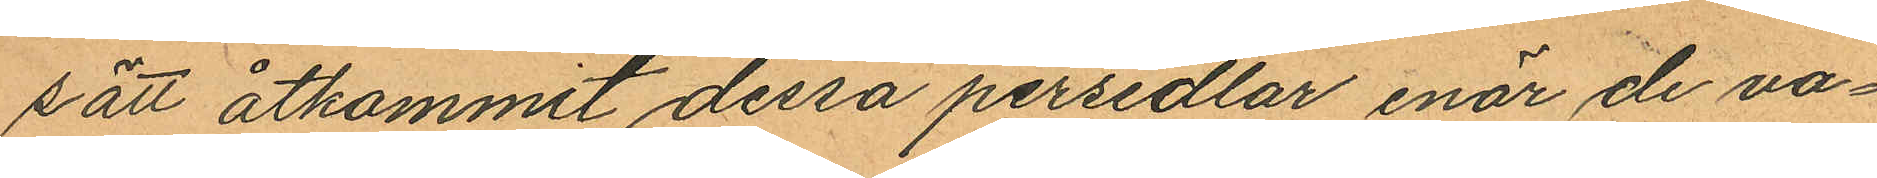sätt åtkommit dessa persedlar enär de va¬
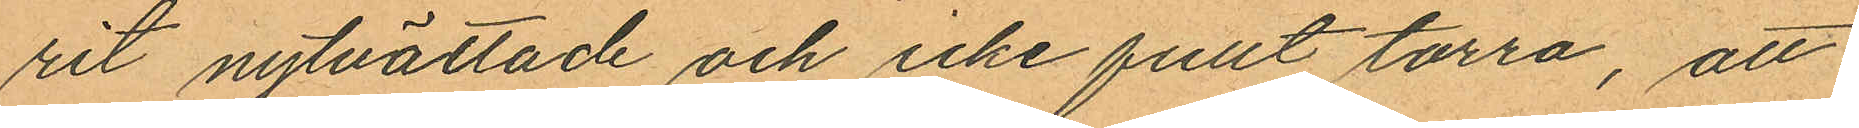rit nytvättade och icke fullt torra, att
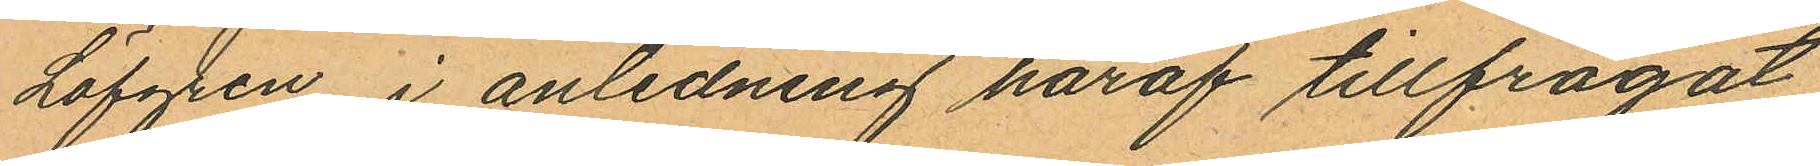Löfgren i anledning häraf tillfrågat
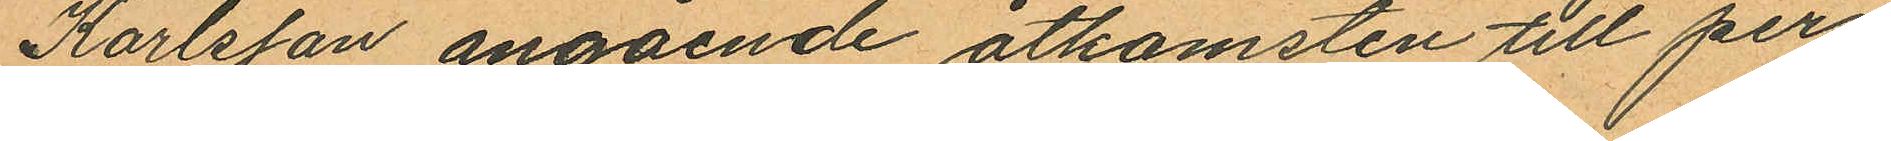Karlsson angående åtkomsten till per¬
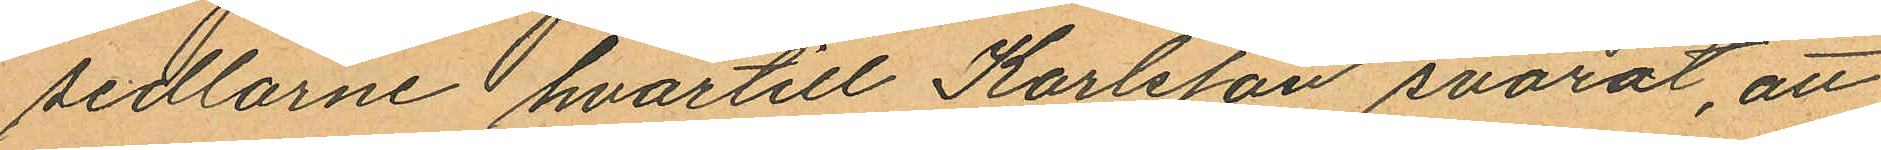sedlarne hvartill Karlsson svarat, att
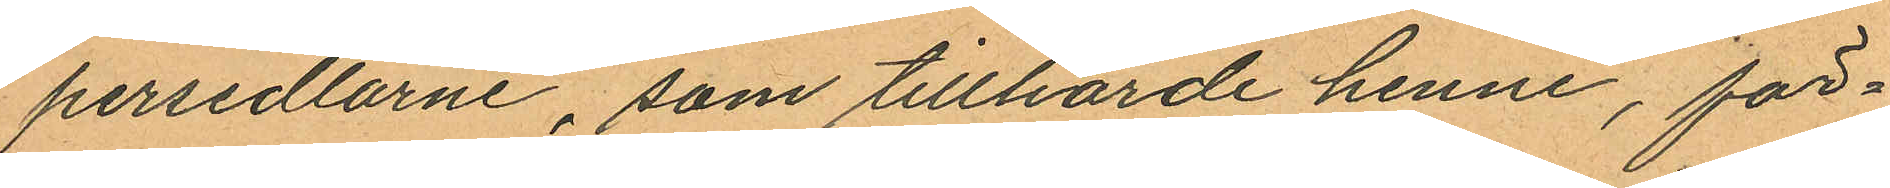persedlarne, som tillhörde henne, för¬
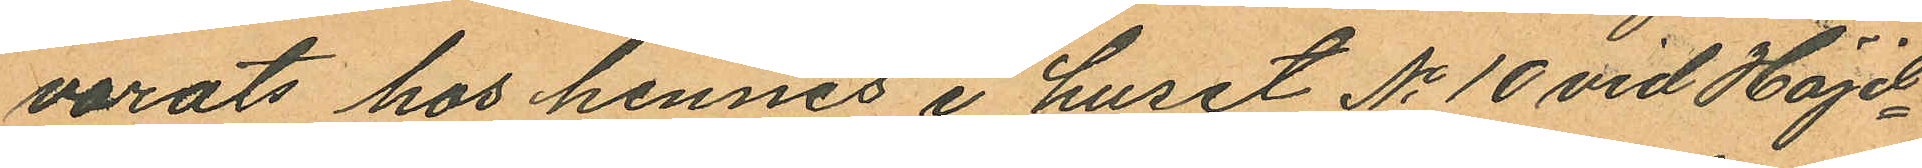varats hos hennes i huset No 10 vid Höjd¬
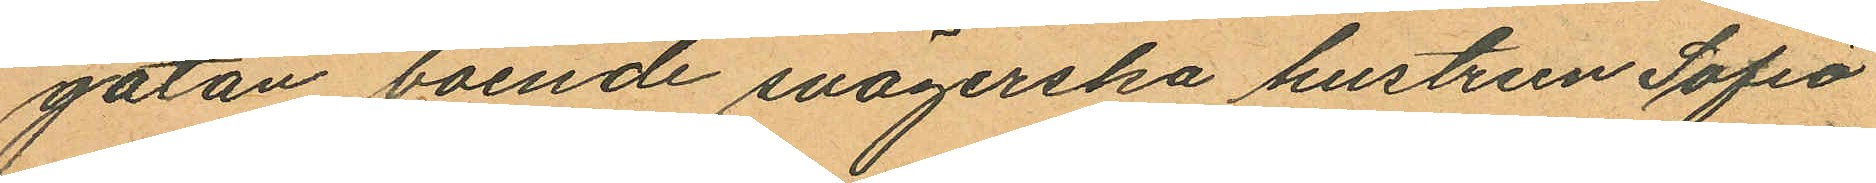gatan boende svägerska hustrun Sofia
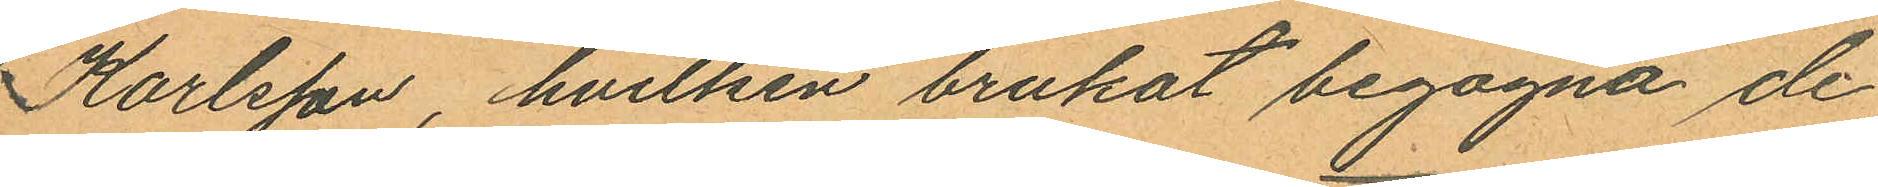Karlsson, hvilken brukat begagna de
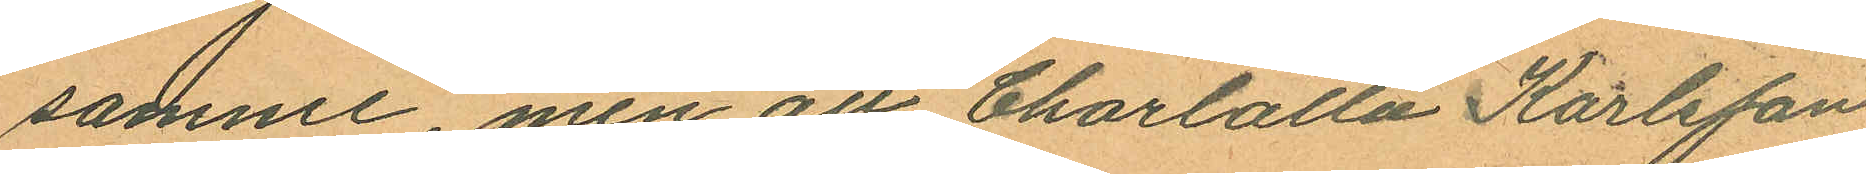samme, men att Charlotta Karlsson
